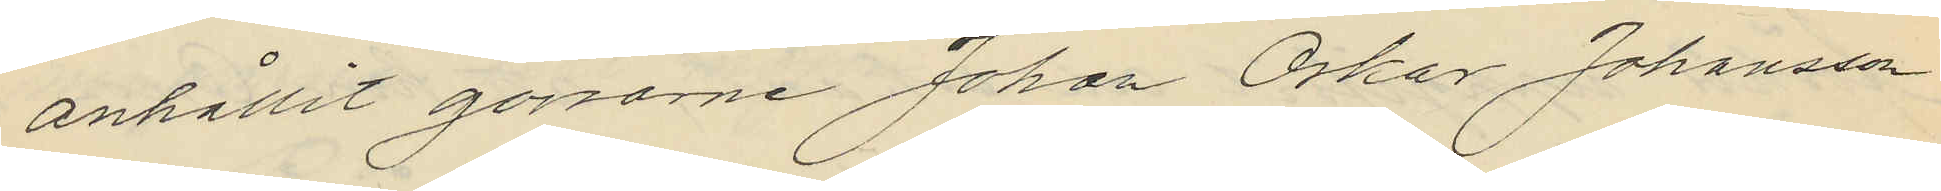anhållit gossarne Johan Oskar Johansson
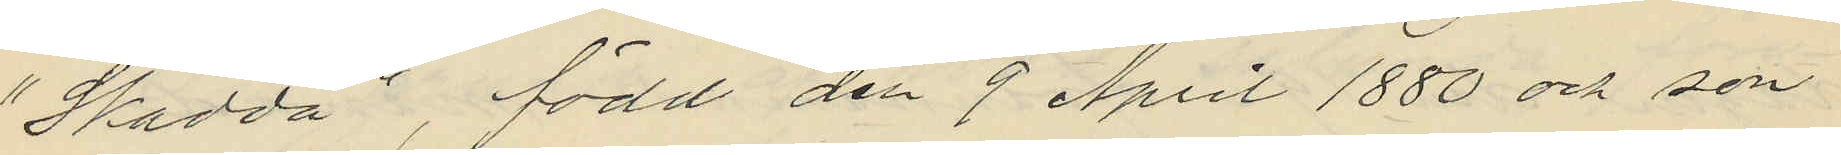"Skadda", född den 9 April 1880 och son
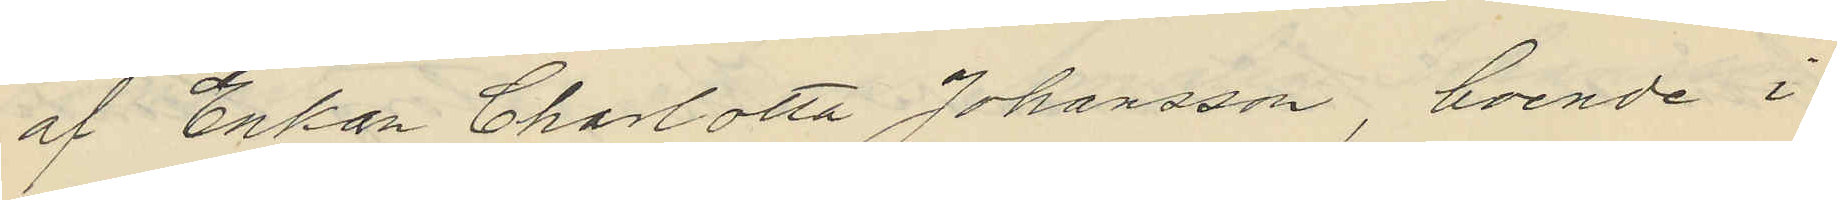af Enkan Charlotta Johansson, boende i
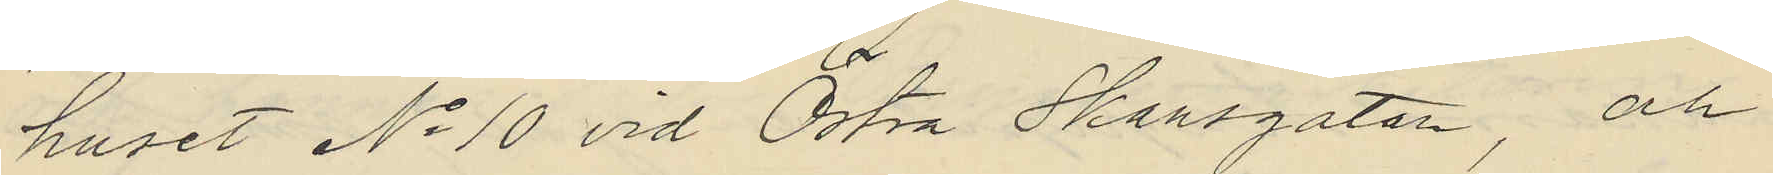huset No 10 vid Östra Skansgatan, och
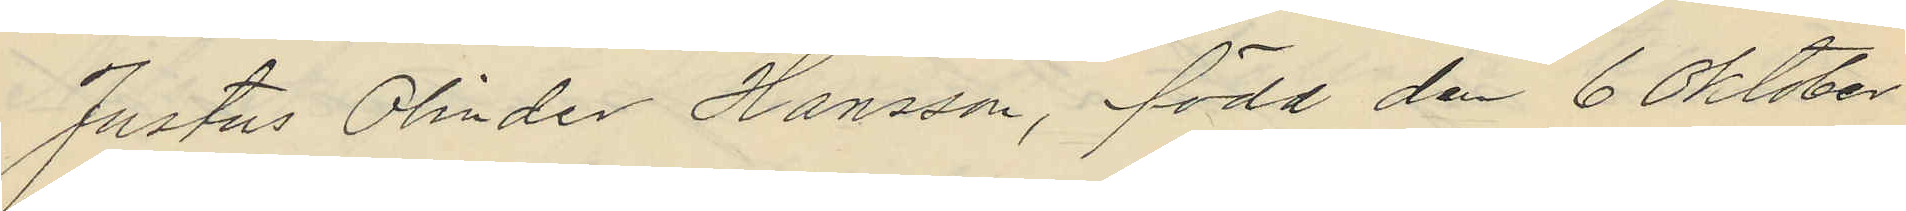Justus Olinder Hansson, född den 6 Oktober
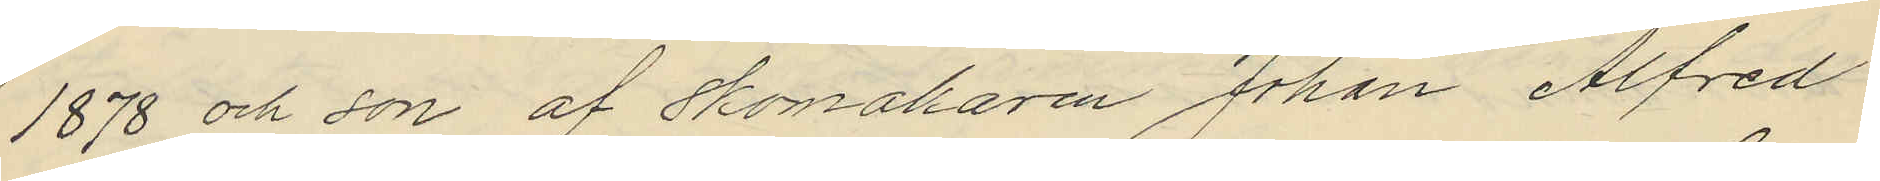1878 och son af skomakaren Johan Alfred
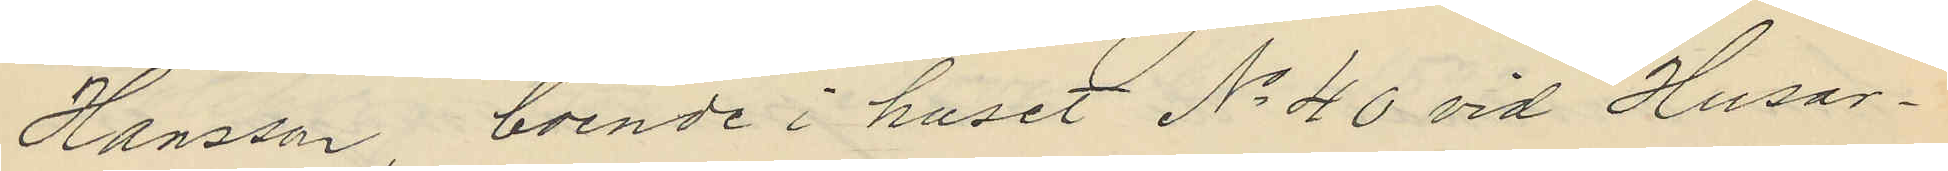Hansson, boende i huset No 40 vid Husar¬
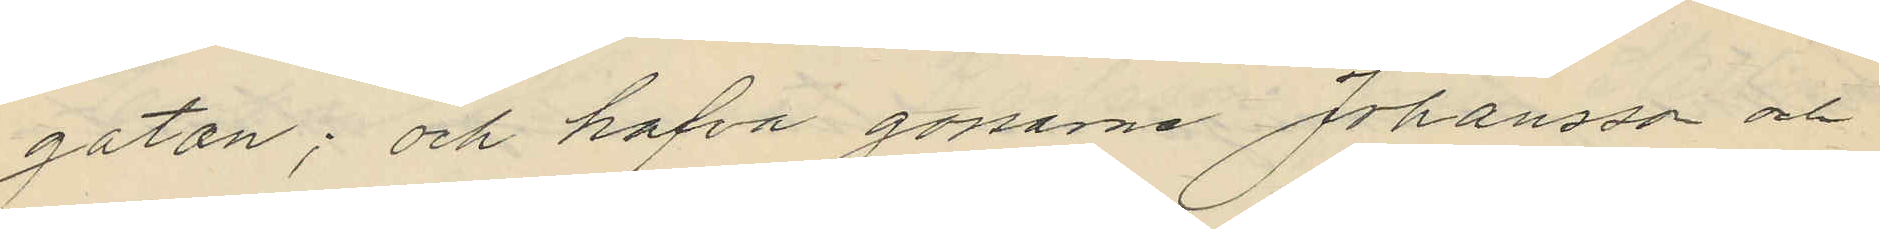gatan; och hafva gossarne Johansson och
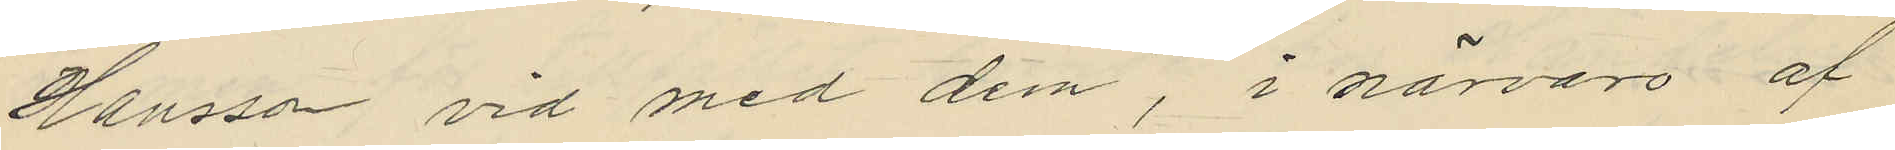Hansson vid med dem, i närvaro af
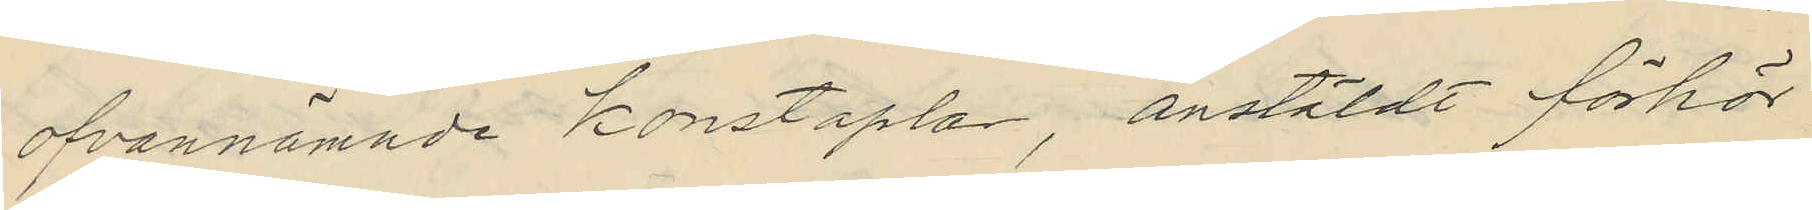ofvannämnde konstaplar, anstäldt förhör
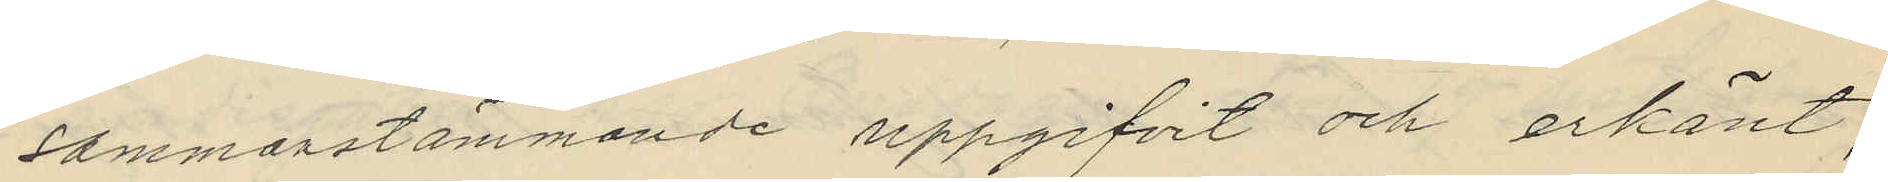sammanstämmande uppgifvit och erkänt,
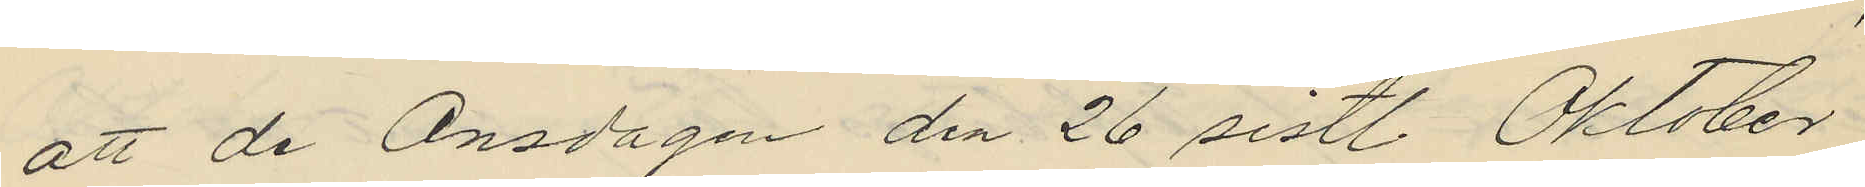att de Onsdagen den 26 sistl. Oktober
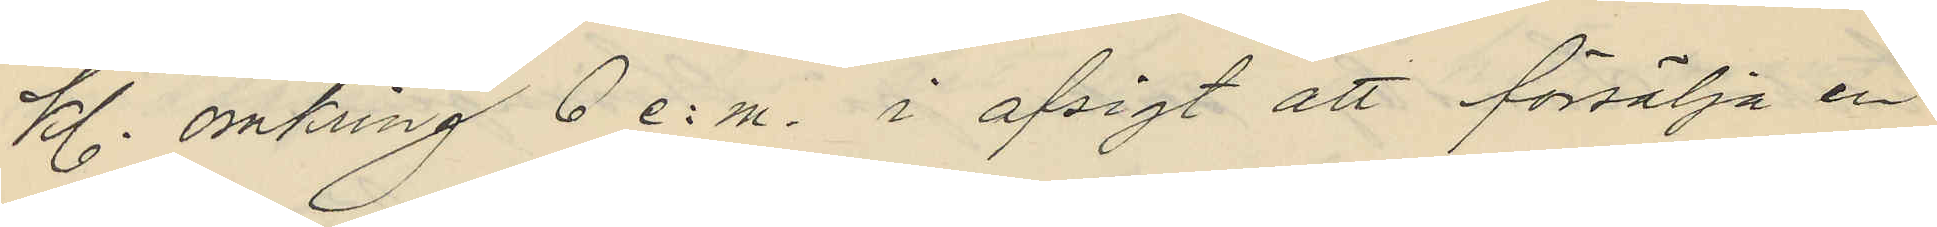kl. omkring 6 e.m. i afsigt att försälja en
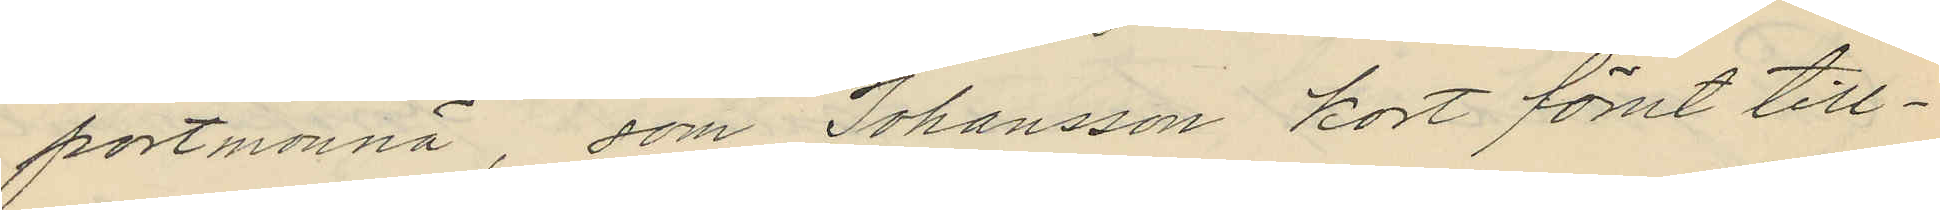portmonnä, som Johansson kort förut till¬
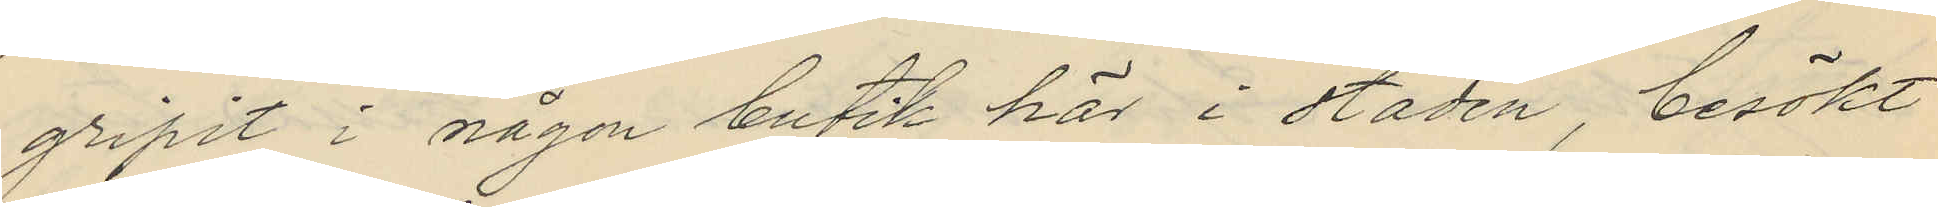gripit i någon butik här i staden, besökt
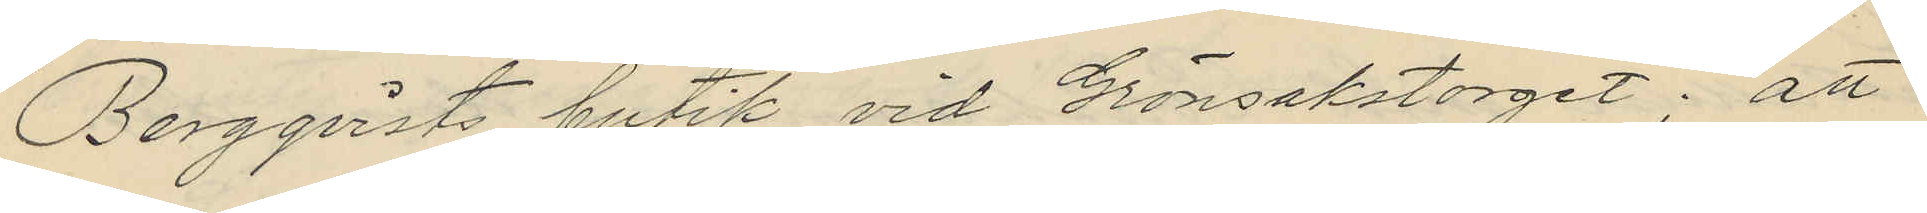Bergqvists butik vid Grönsakstorget; att
